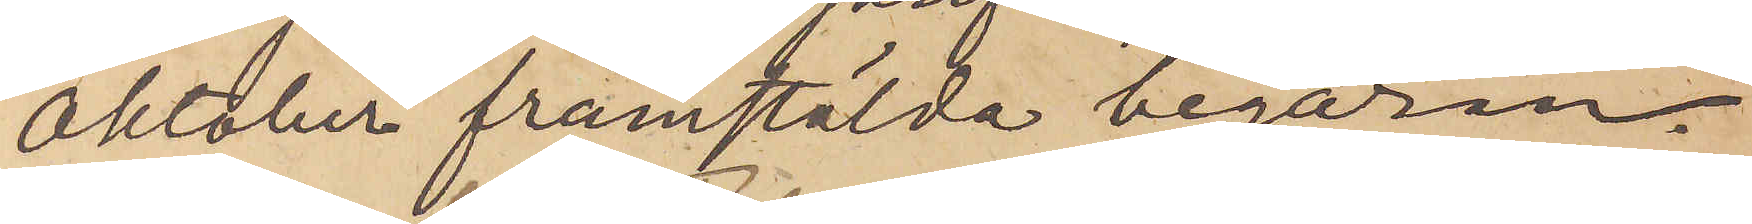Oktober framstälda begäran.
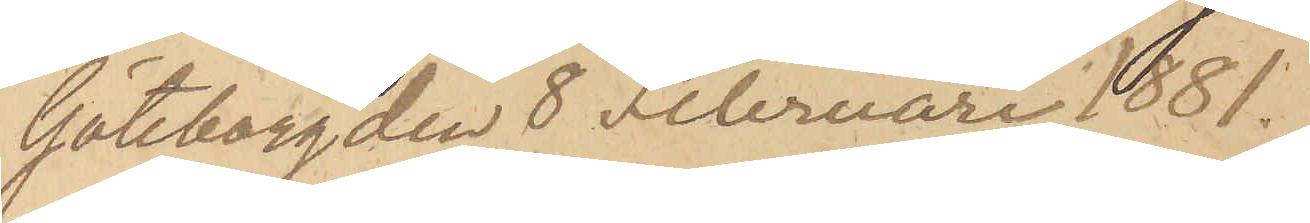Göteborg den 8 Februari 1881.
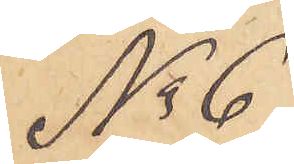No 6
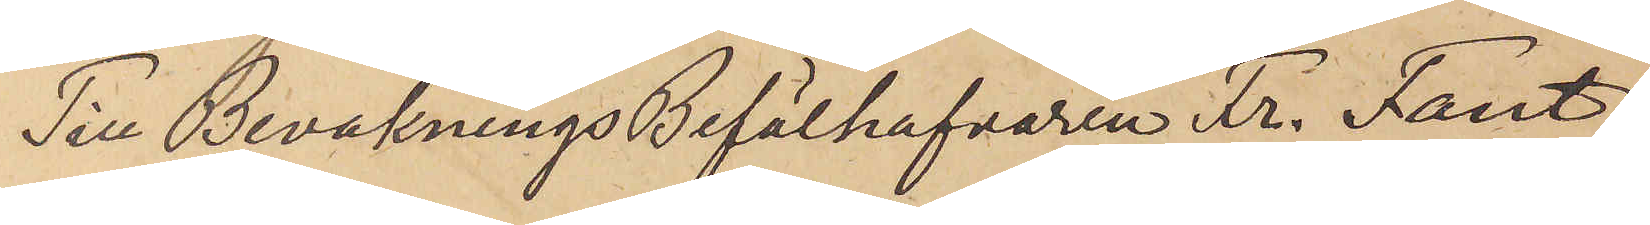Till Bevaknings Befälhafvaren Fr. Fant
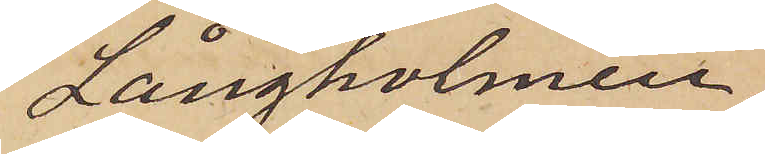Långholmen
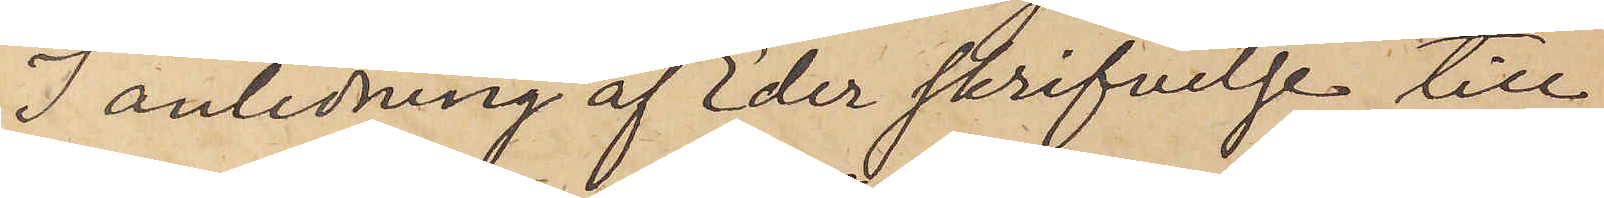I anledning af Eder skrifvelse till
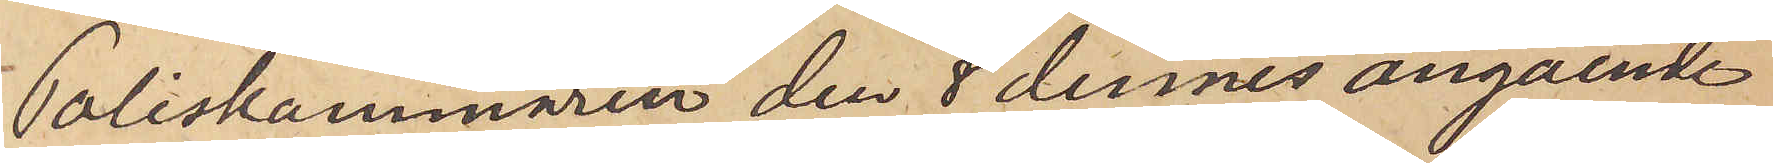Poliskammaren den 8 dennes angående
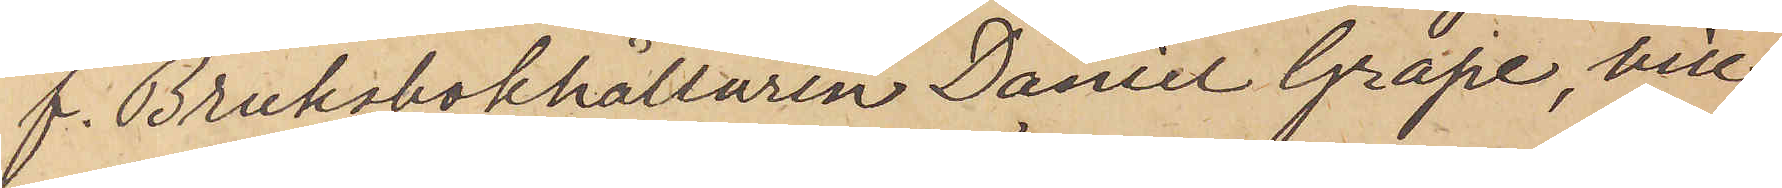f. Bruksbokhållaren Daniel Grape, vill
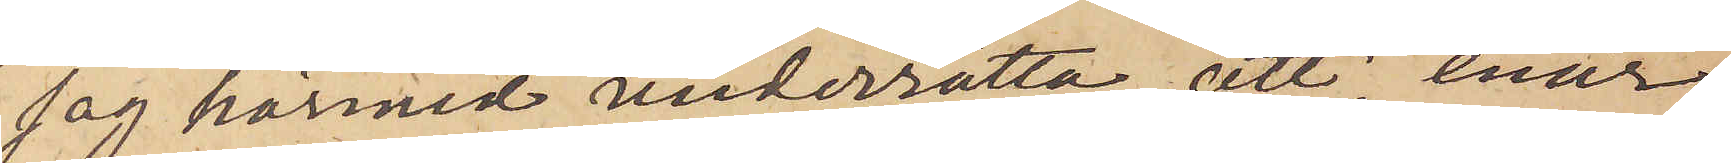jag härmed underrätta, att, enär
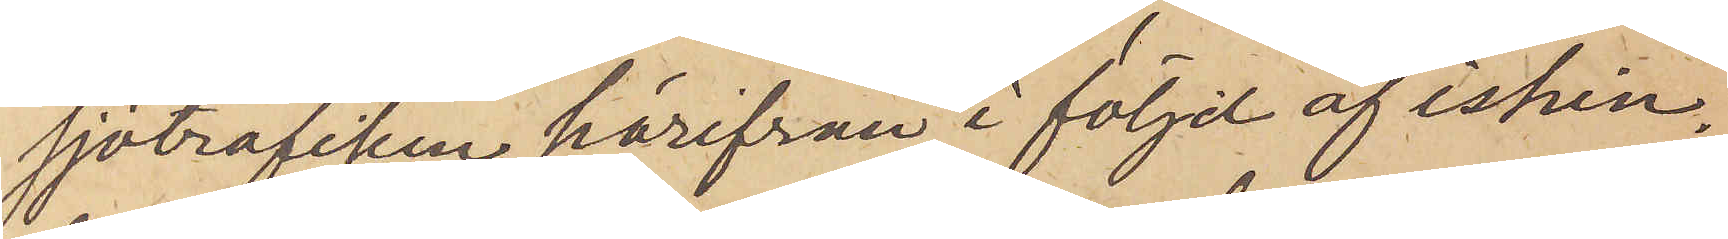sjötrafiken härifrån i följd af ishin¬
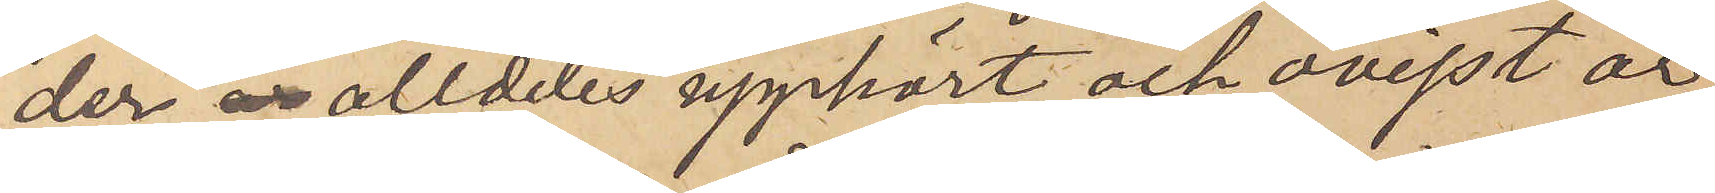der alldeles upphört och ovisst är
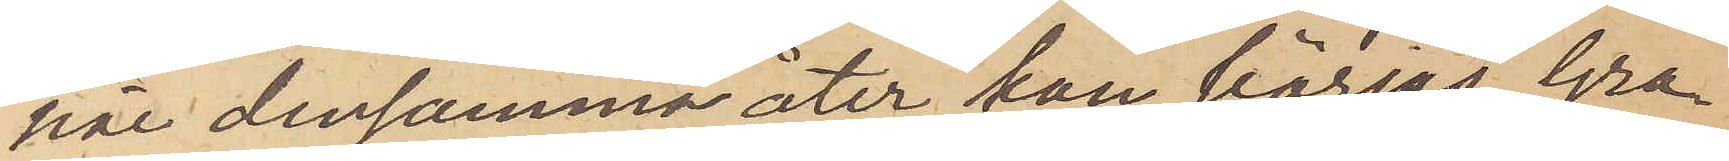när densamma åter han börjas, Gra¬
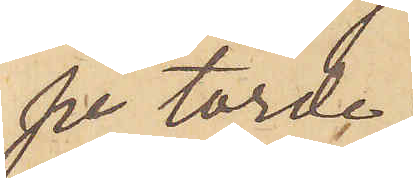pe torde
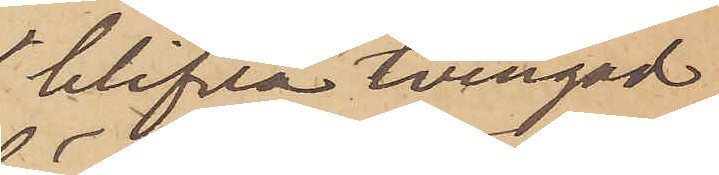blifva tvingad
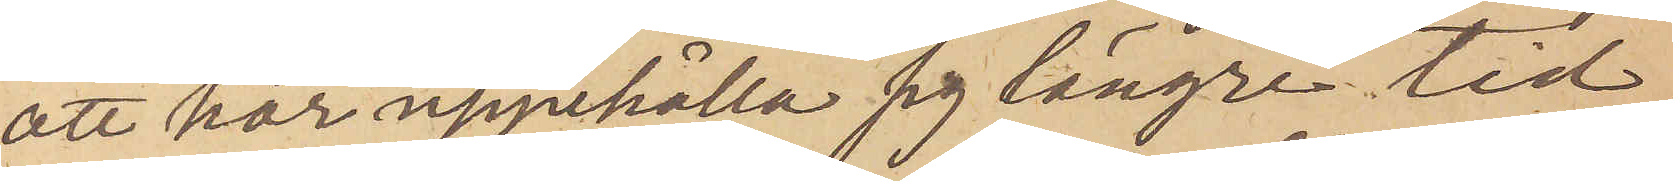att här uppehålla sig längre tid,
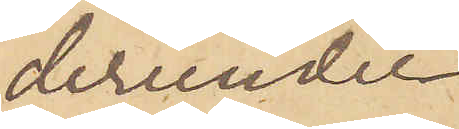derunder
